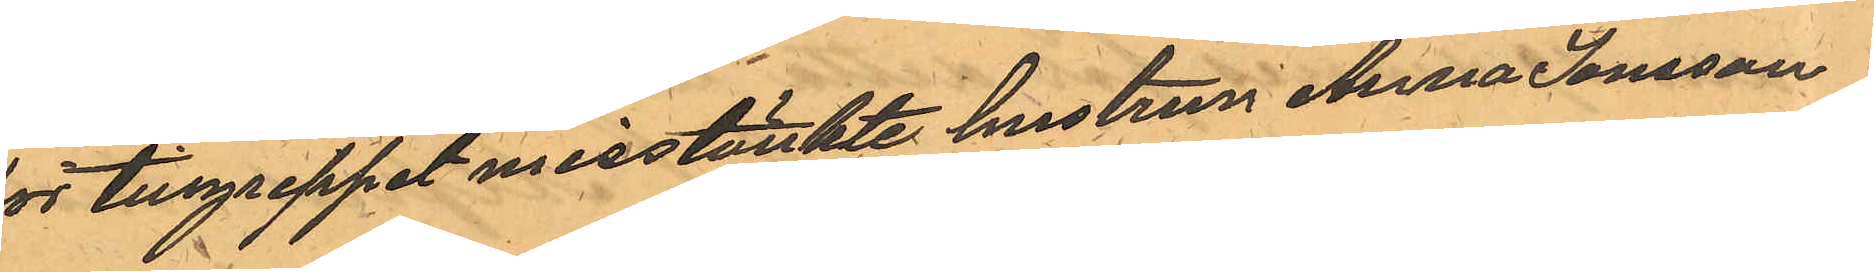för tillgreppet misstänkte hustrun Anna Jonsson
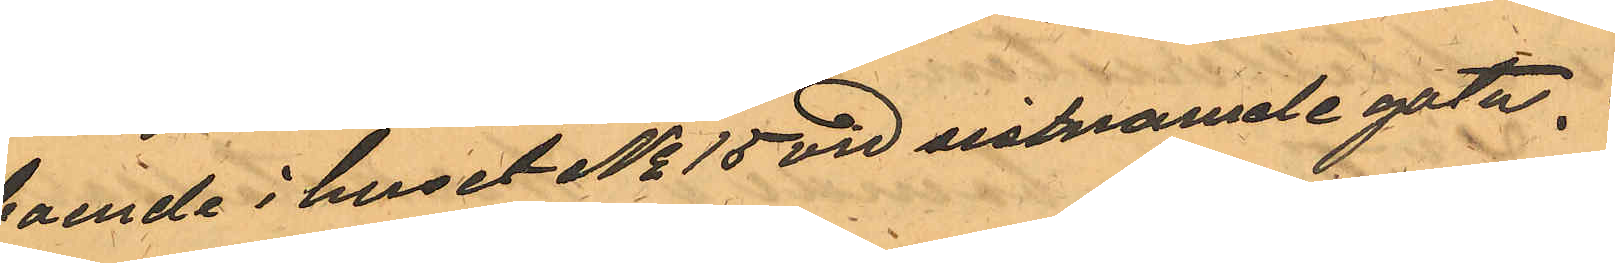boende i huset No 15 vid sistnamde gata.
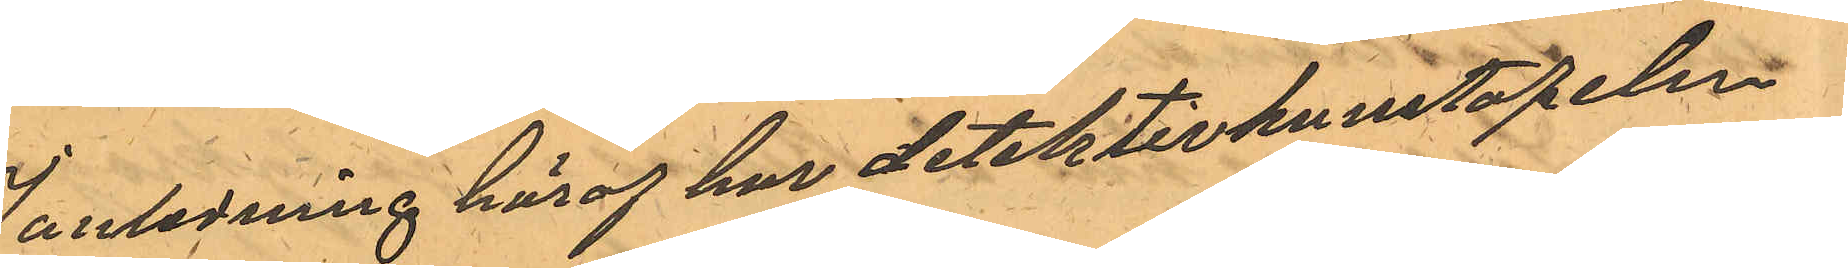I anledning häraf har detektivkonstapeln
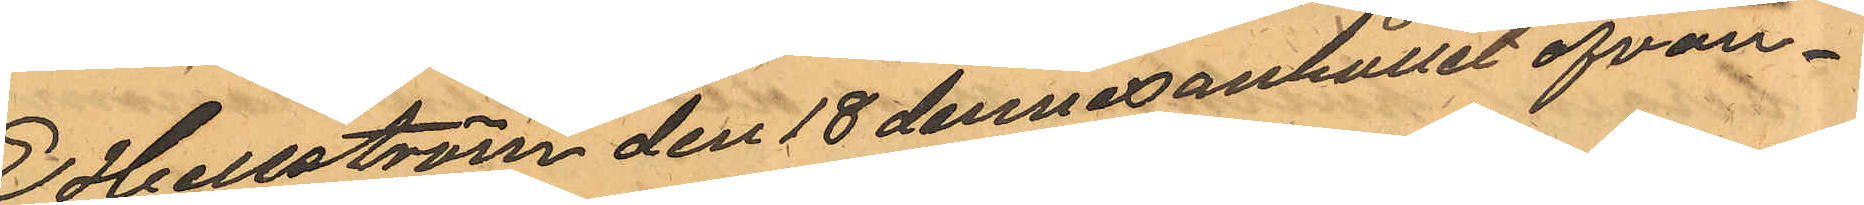E. Hellström den 18 dennes anhållit ofvan¬
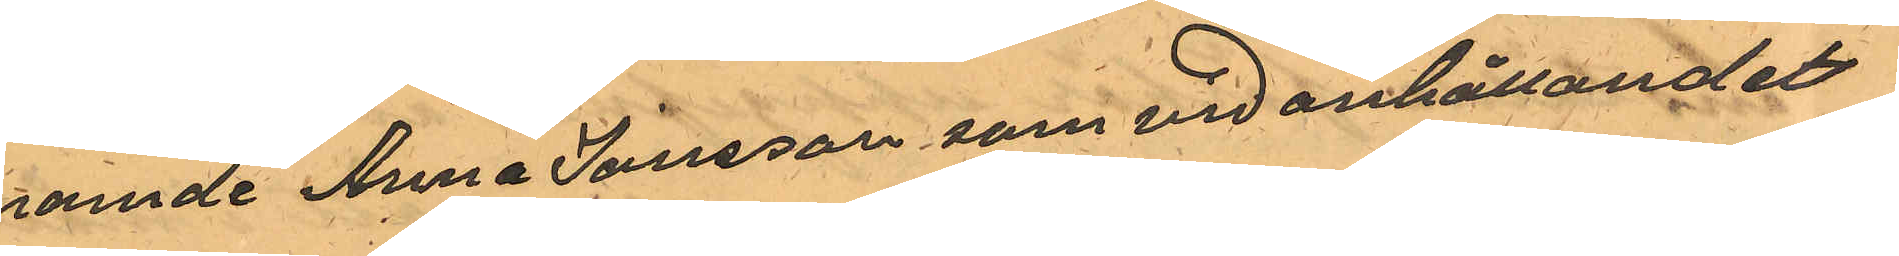namde Anna Jansson som vid anhållandet
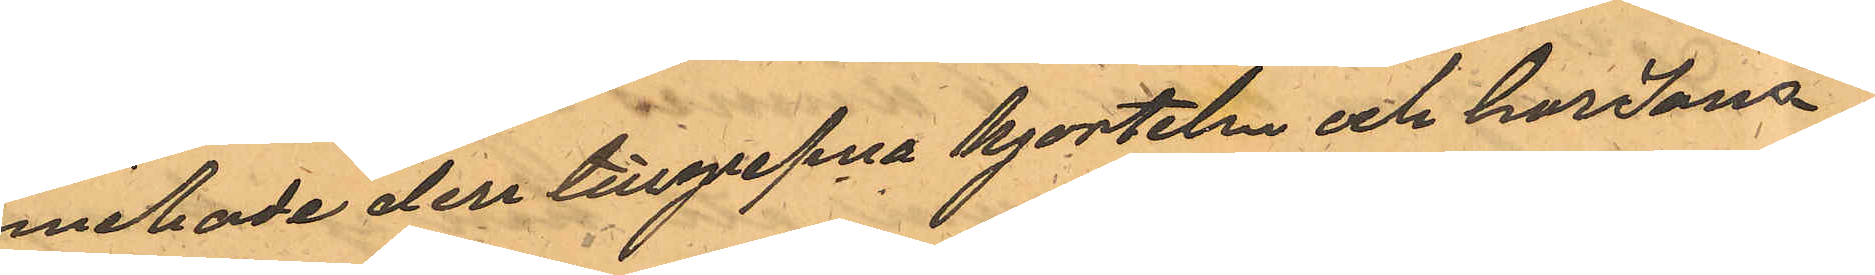innehade der tillgripna kjorteln och har Jans¬
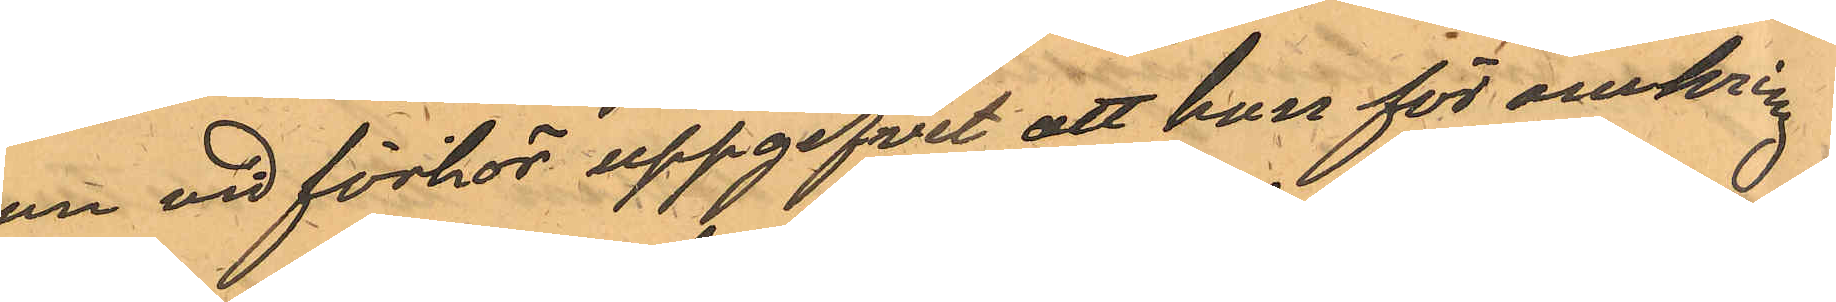son vid förhör uppgifvit att hon för omkring
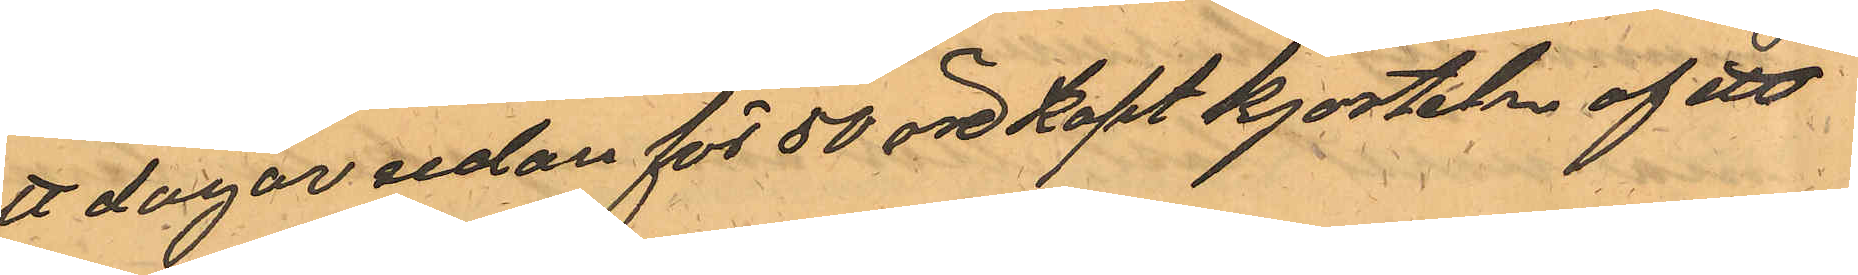att dagar sedan för 50 öre köpt kjorteln af ett
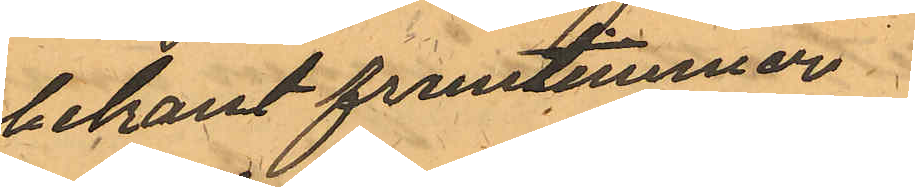obekant fruntimmer
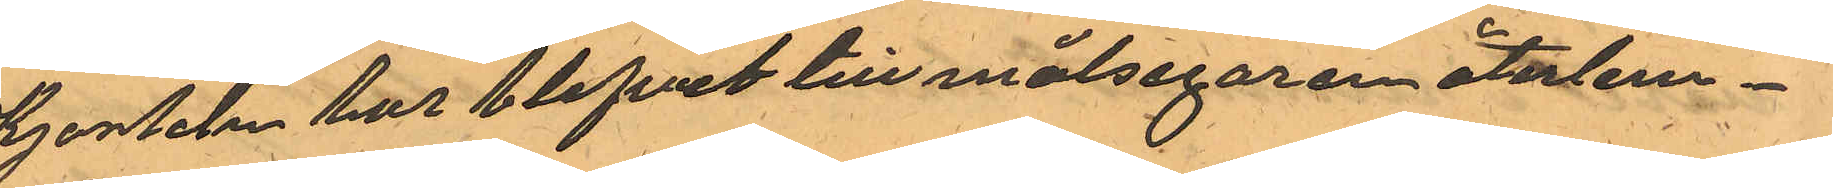Kjorteln har blifvit till målsegaren återlem¬
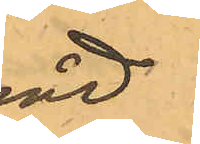nad
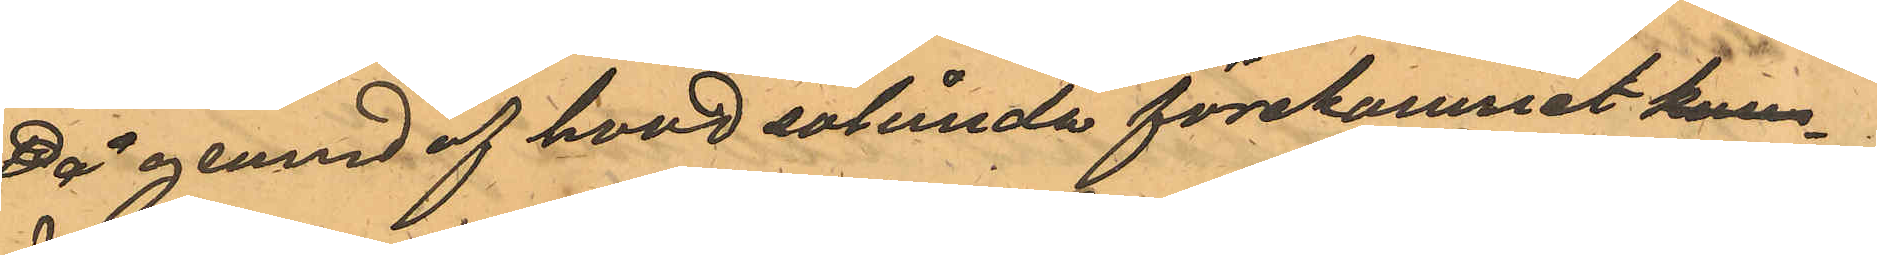På grund af hvad sålunda förekommet kom
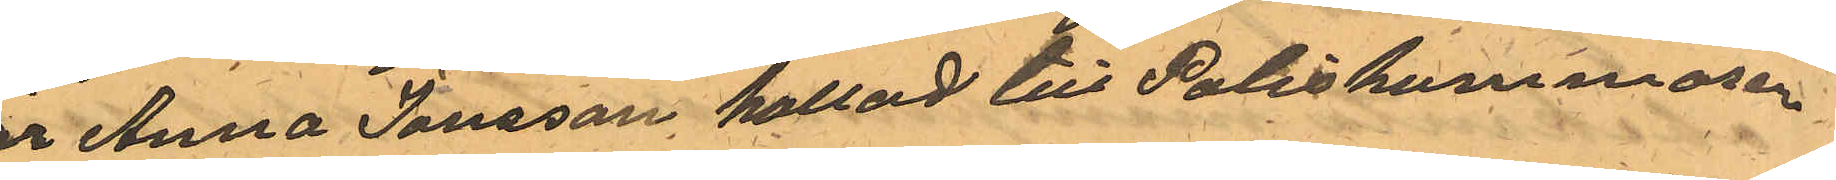är Anna Jansson kallad till Poliskammaren
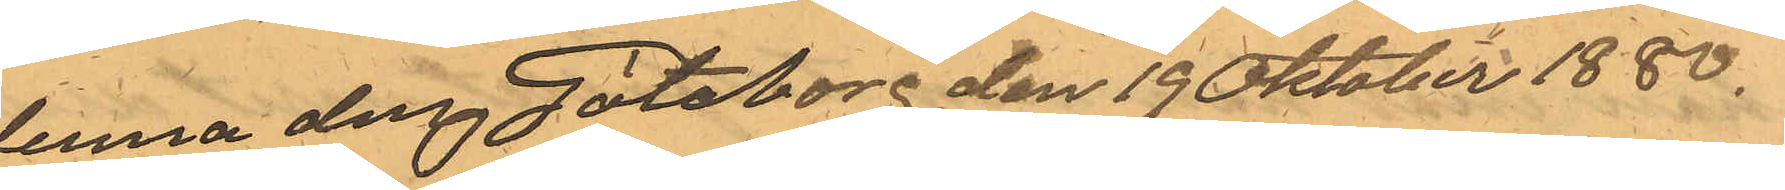denna dag Göteborg den 19 Oktober 1880.
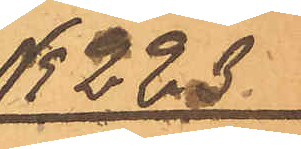No 223.
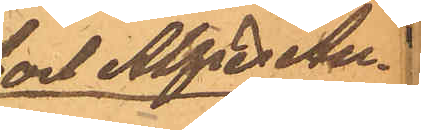Carl Alfred An¬
